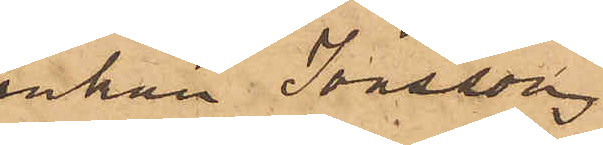enkan Jonsson
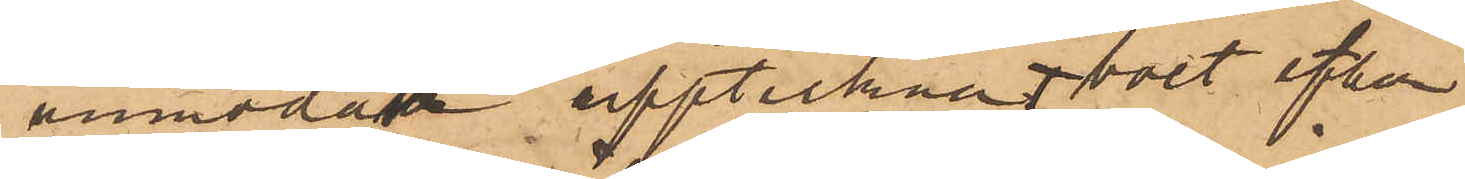anmodan upptecknat boet efter
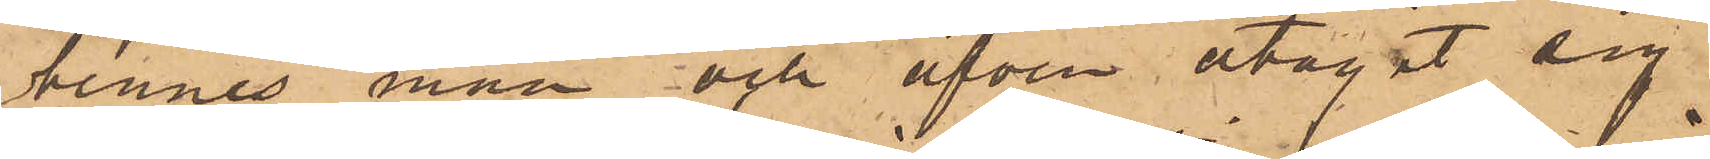hennes man och äfven åtagit sig
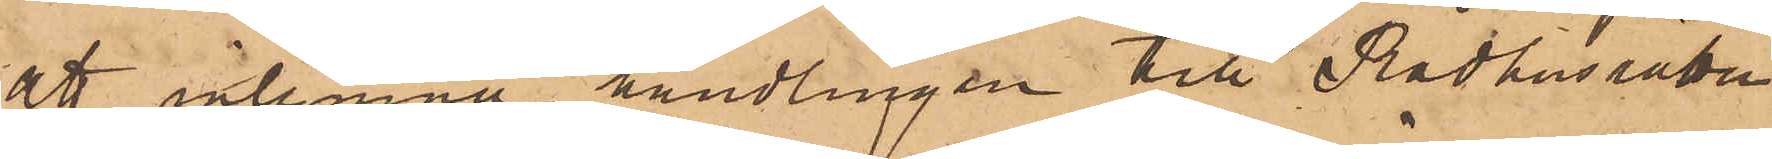att inlemna handlingen till Rådhusrätten
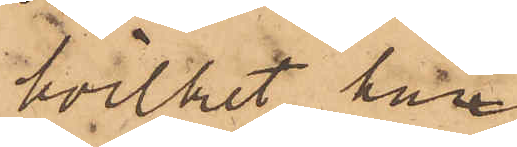hvilket han
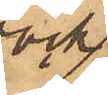ock
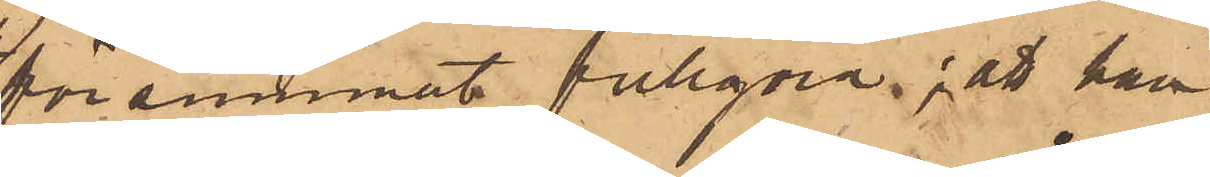försummat fullgöra; att han
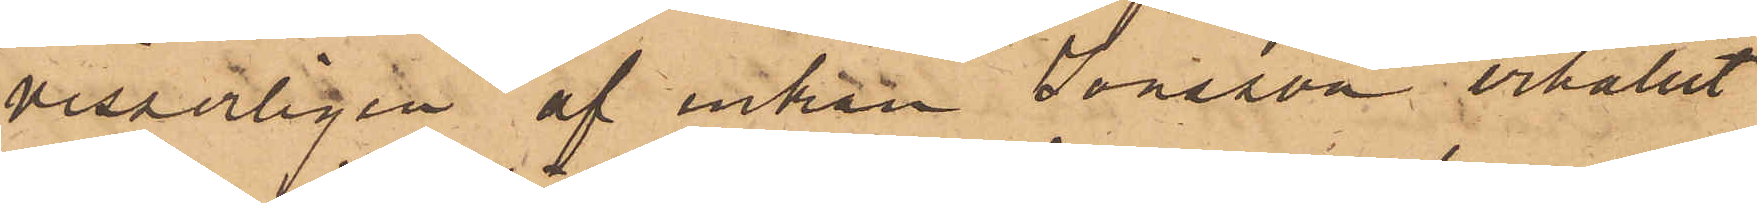visserligen af enkan Jonsson erhållit
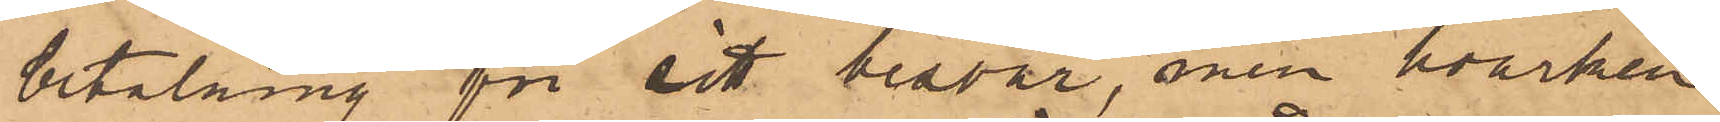betalning för sitt besvär, men hvarken
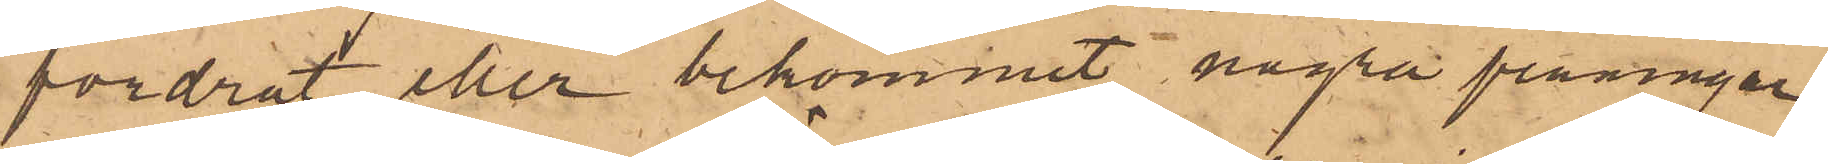fordrat eller bekommit några penningar
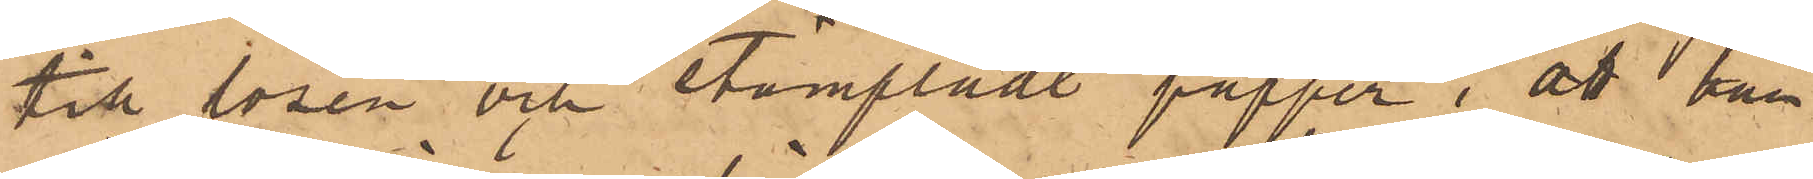till lösen och stämpladt papper; att han
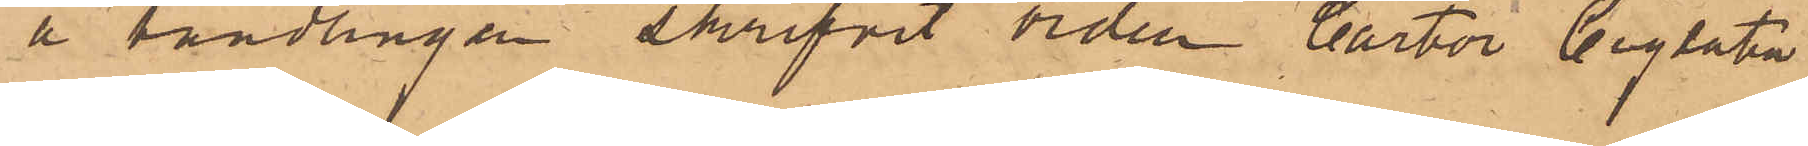å handlingen skrifvit orden "carta Signata
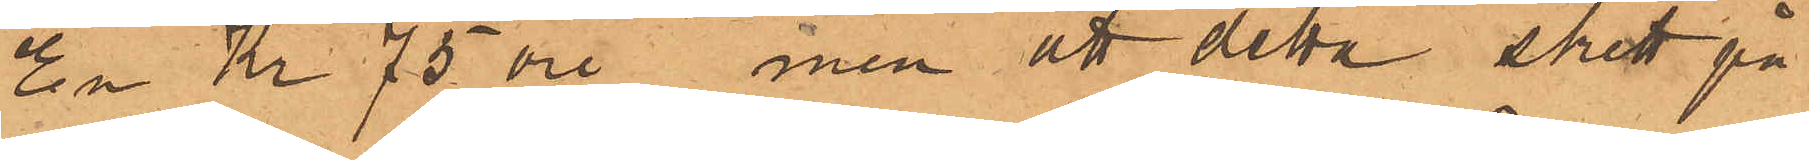En Kr 75 öre" men att detta skett på
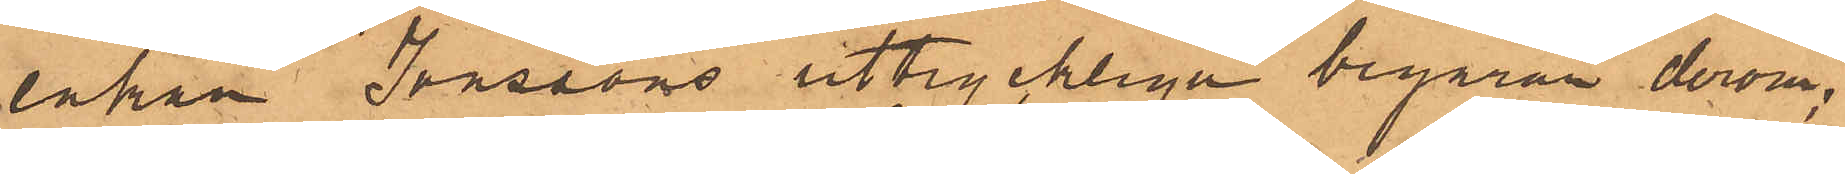änkan Jonssons uttryckliga begäran derom;
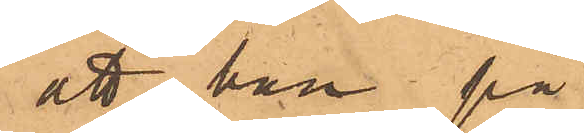att han på
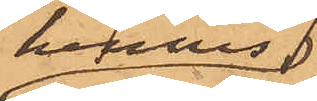hennes
